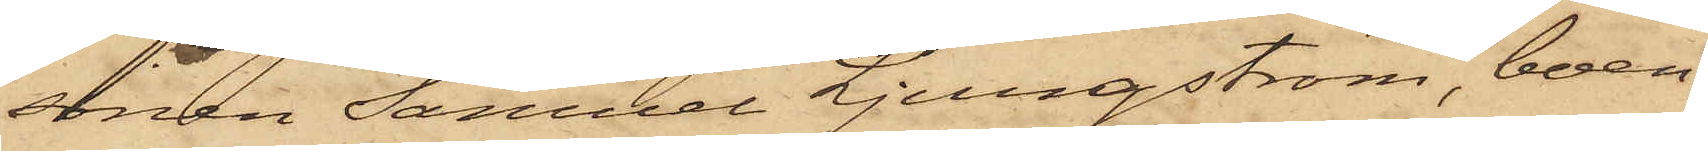sonen Samuel Ljungström, boen¬
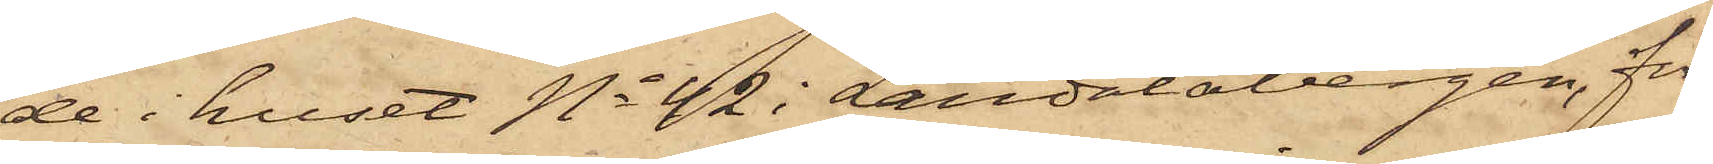de i huset No 42 i Landalabergen, för
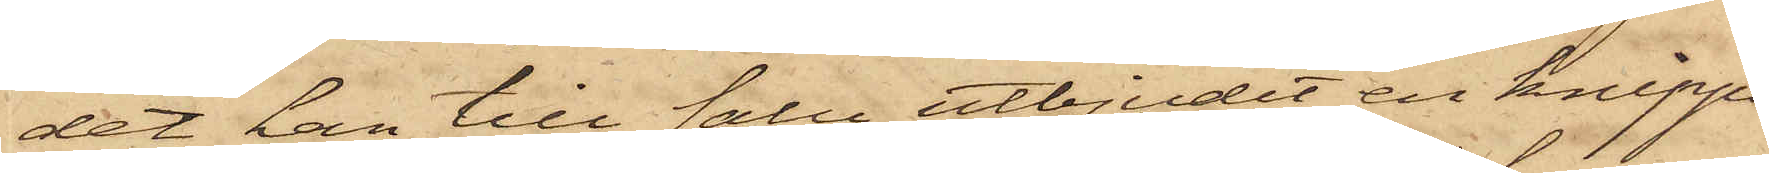det han till salu utbjudit en knippa
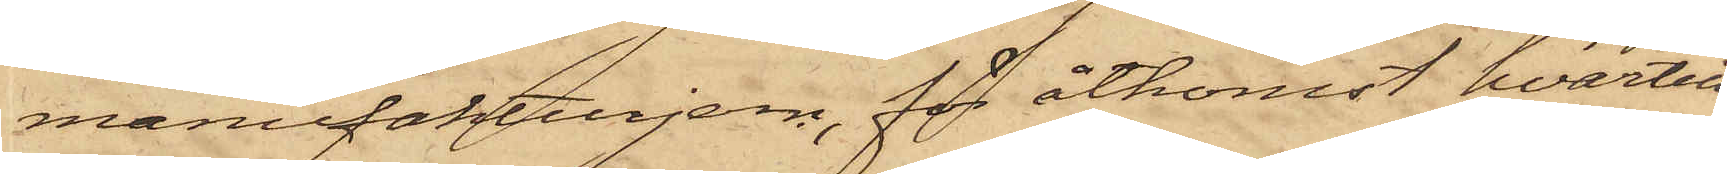manufakturjern, för åtkomst hvartill
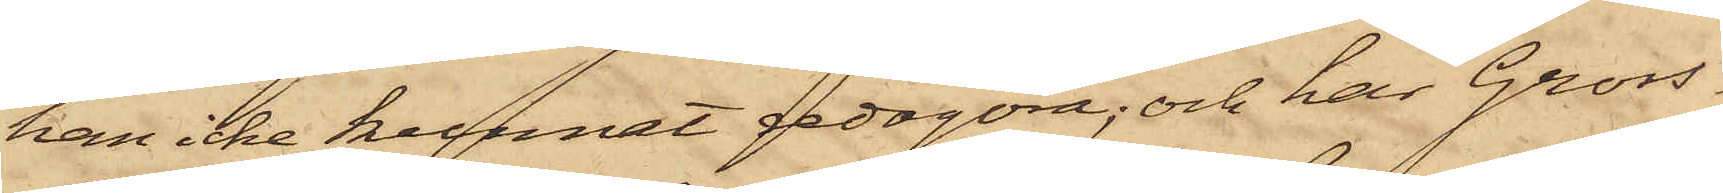han icke kunnat redogöra; och har Gross¬
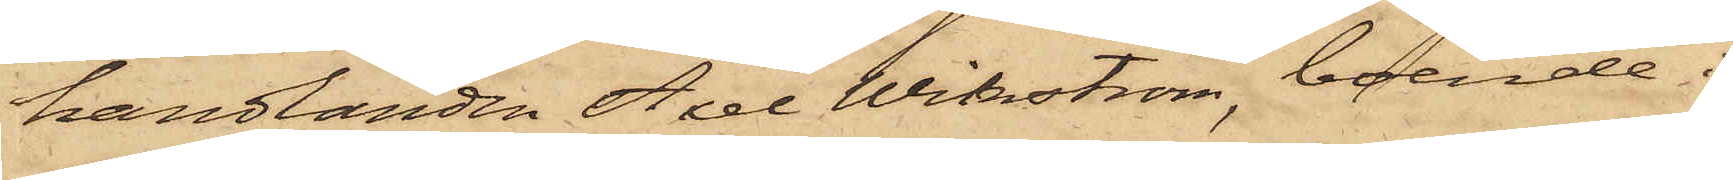handlanden Axel Wikström, boende i
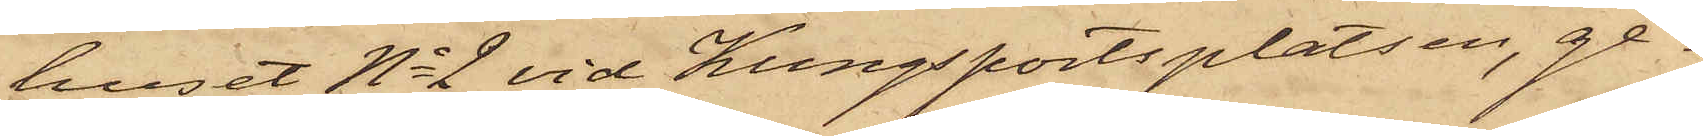huset No 2 vid Kungsportsplatsen, ge¬
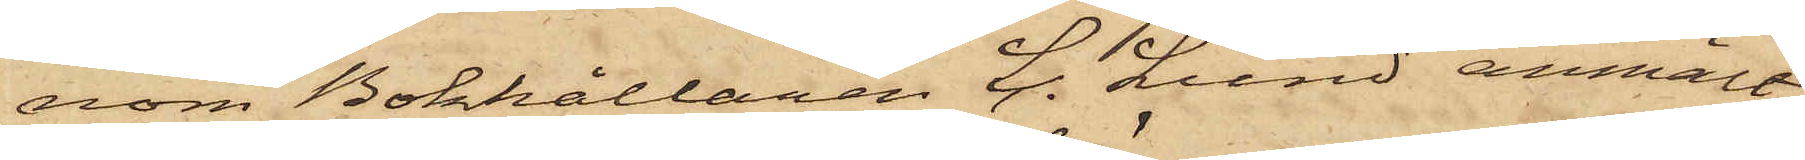nom Bokhållaren C. Lund anmält
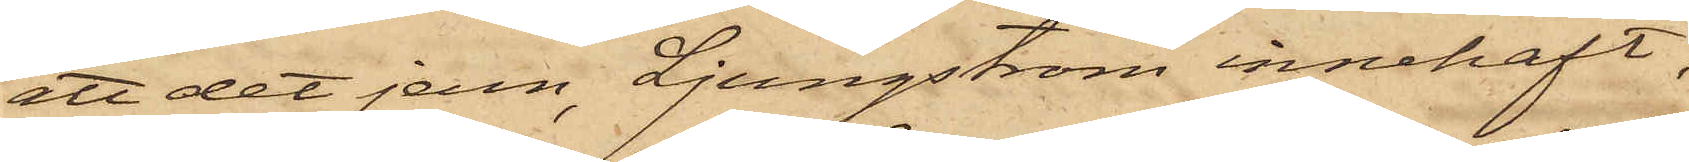att det jern, Ljungström innehaft,
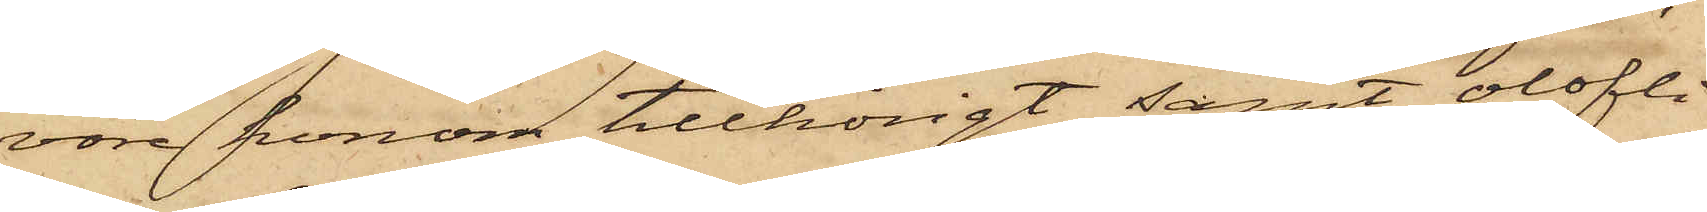vore honom tillhörigt samt olofli¬
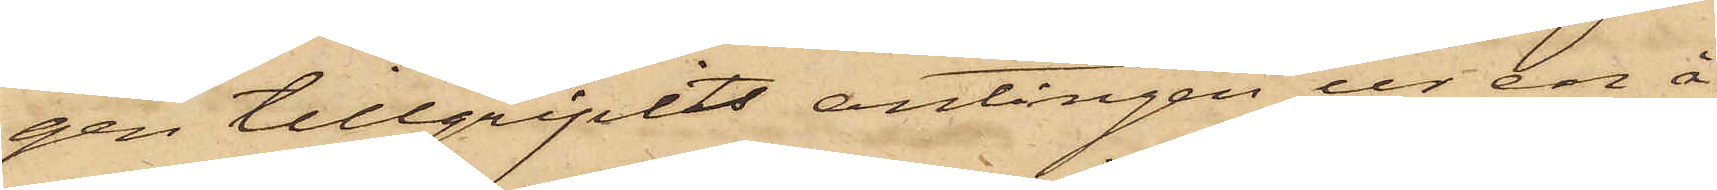gen tillgripits antingen ur en å
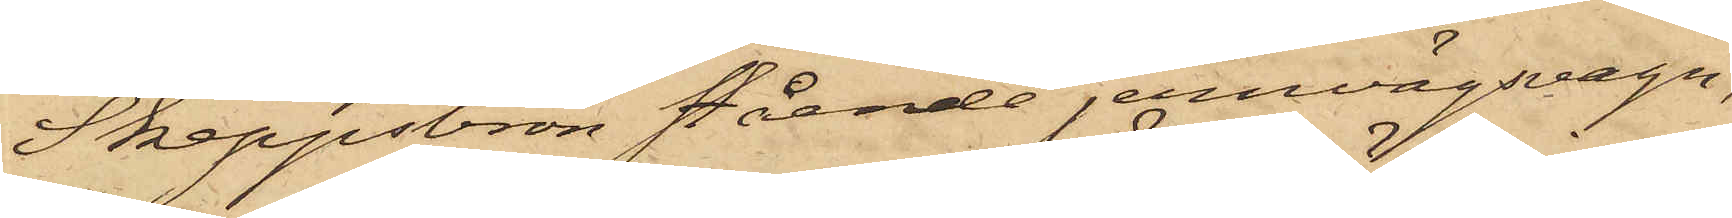Skeppsbron stående jernvägsvagn,
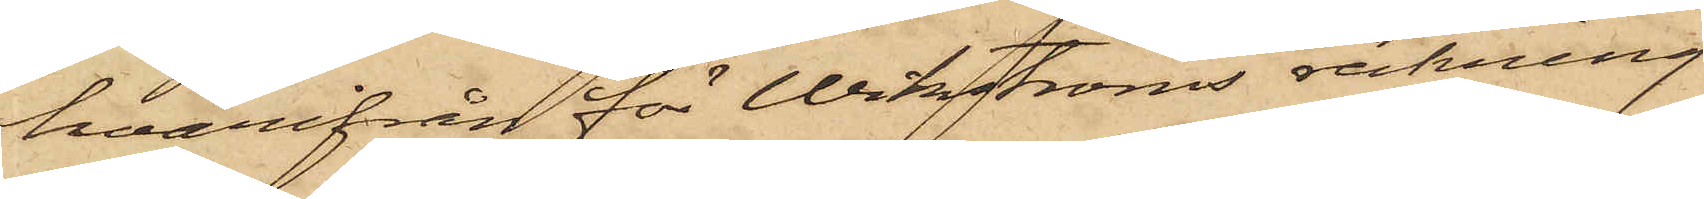hvarifrån för Wikströms räkning
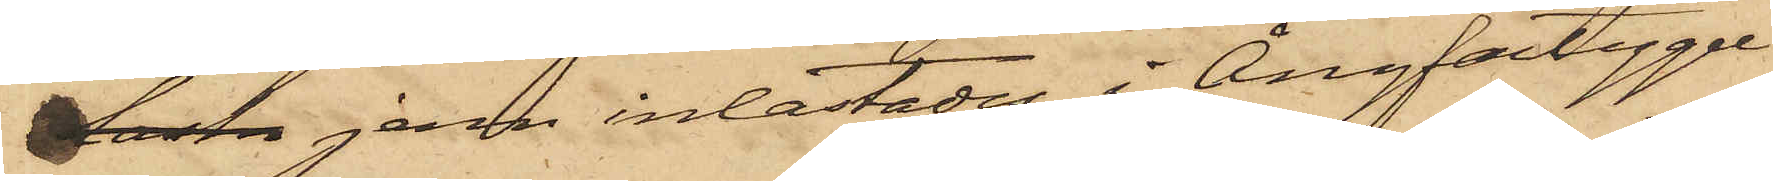lasta jern inlastades i Ångfartyget
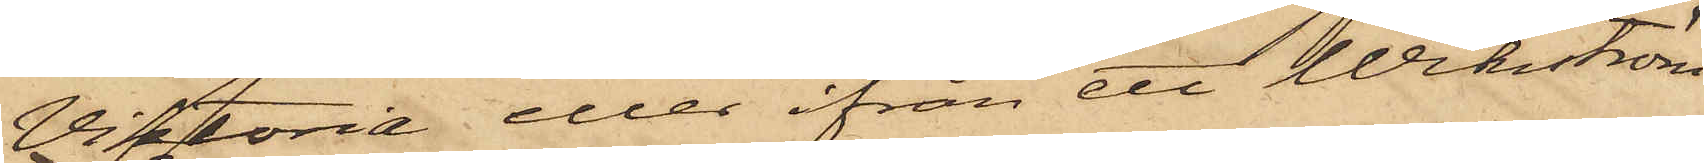Viktoria eller ifrån ett Wickström
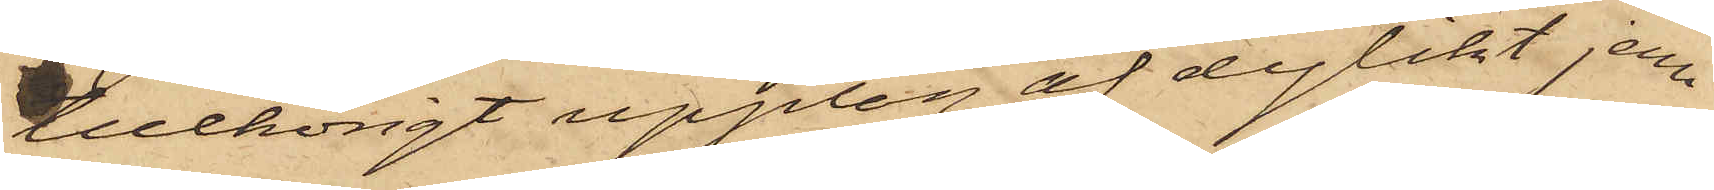tillhörigt upplag af dylikt jern
